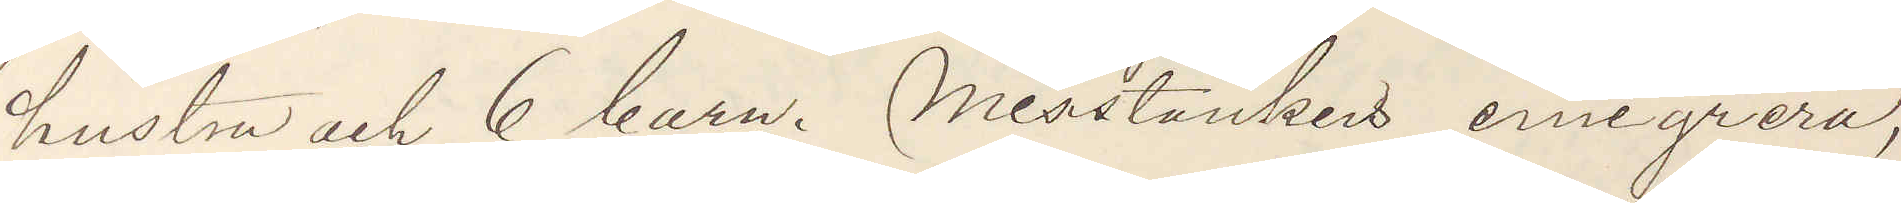hustru och 6 barn. Misstänkes emigrera,
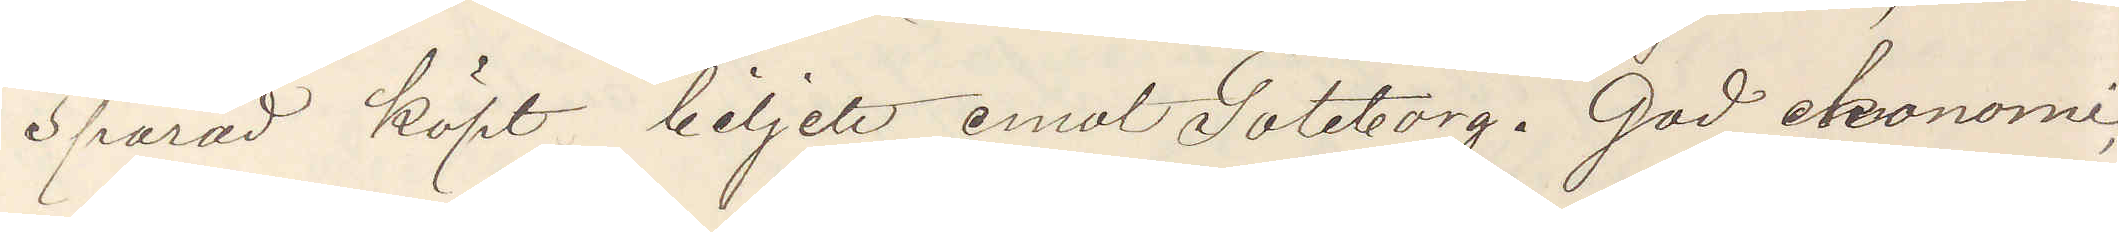Spårad köpt biljett emot Göteborg. God ekonomi,
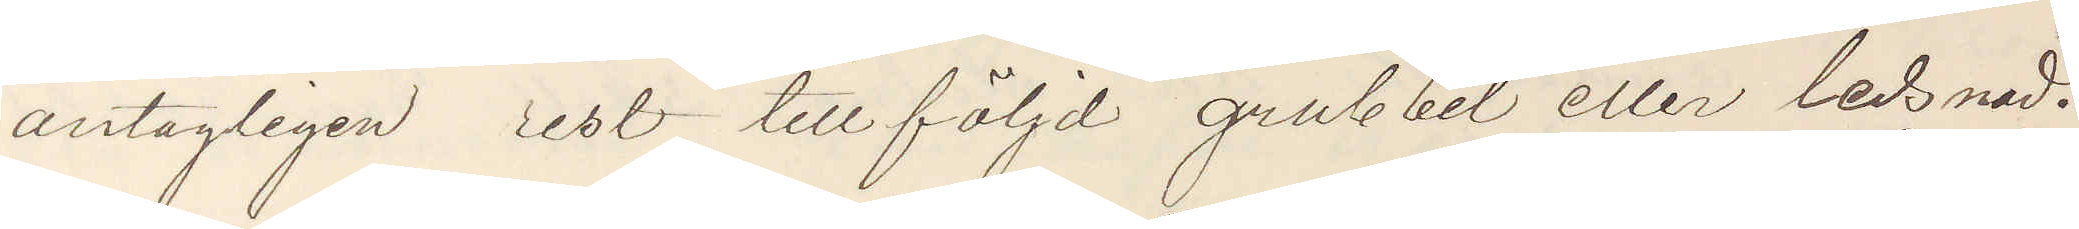antagligen rest till följd grubbel eller ledsnad.
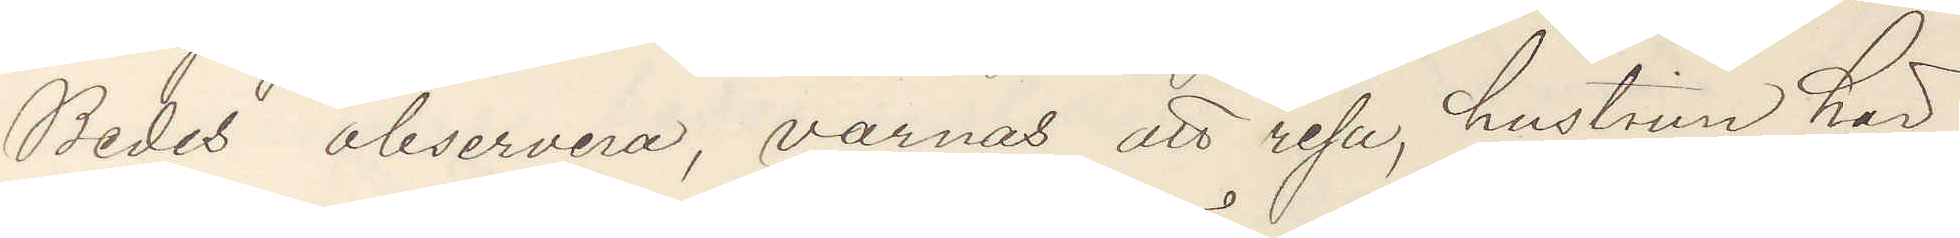Bedes observera, varnas att resa, hustrun här
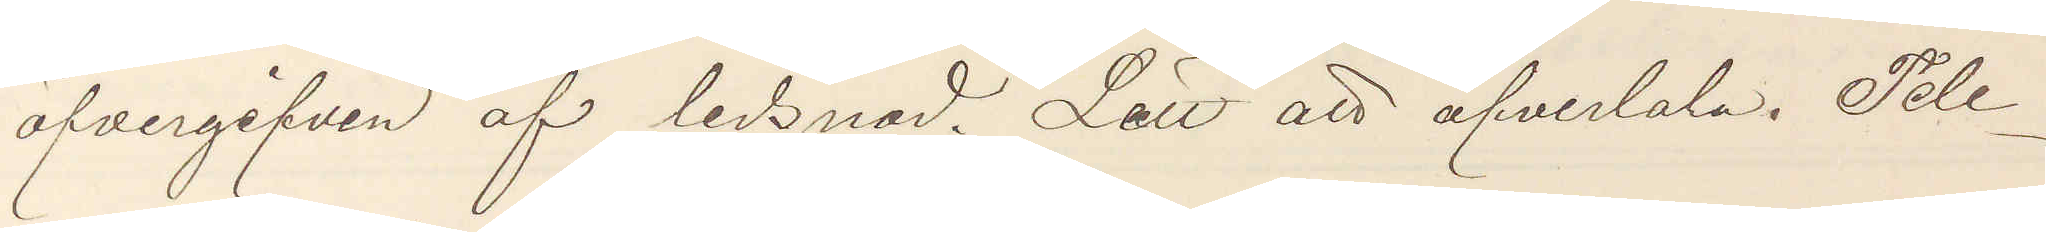öfvergifven af ledsnad. Lätt att öfvertala. Tele¬
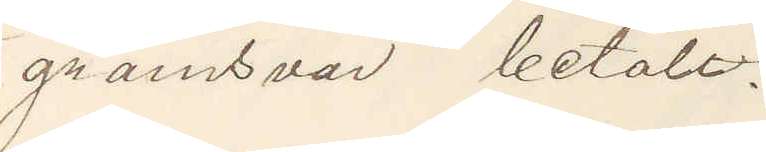gramsvar betalt.
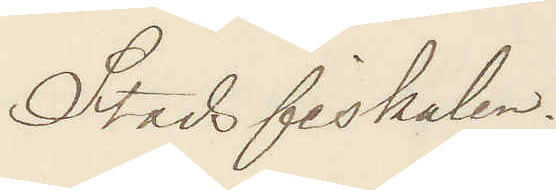Stadsfiskal.
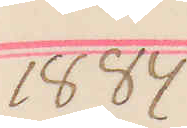1884
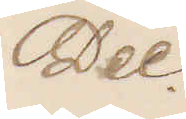Dec.
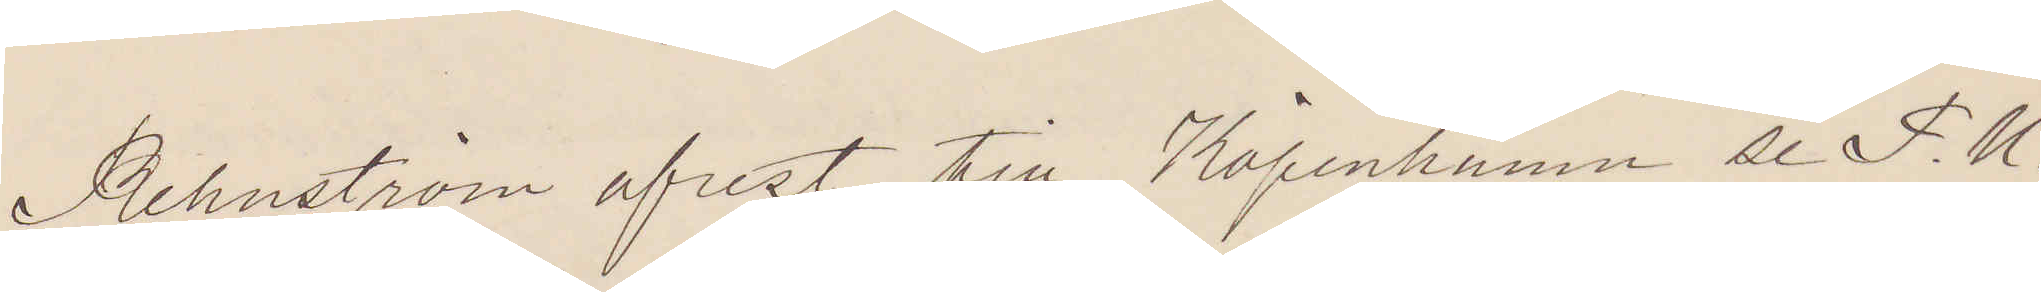Rehnström afrest till Köpenhamn se P. U.
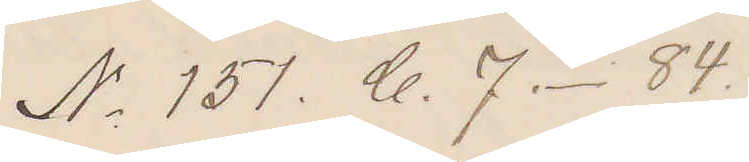No 151. C. 7.- 84.
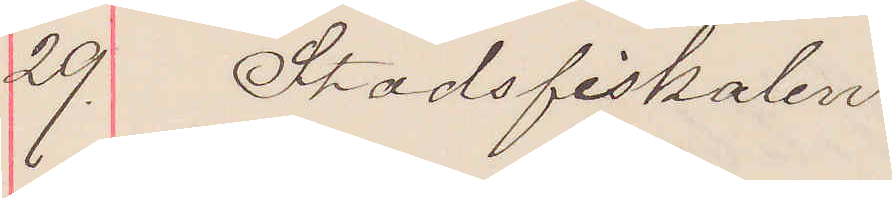29. Stadsfiskalen
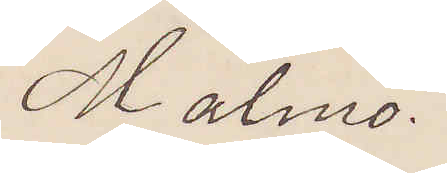Malmö.
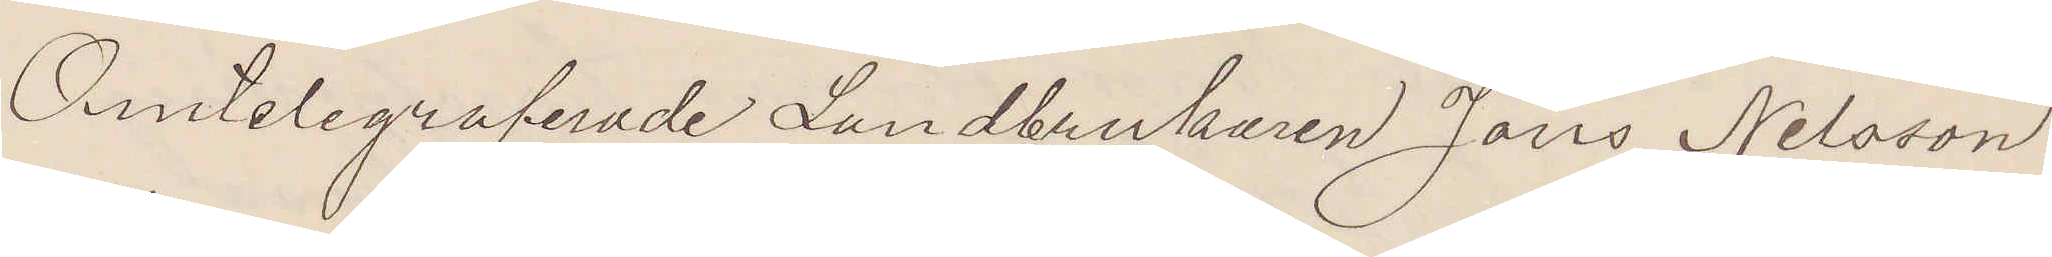Omtelegraferade Landtbrukaren Jöns Nilsson
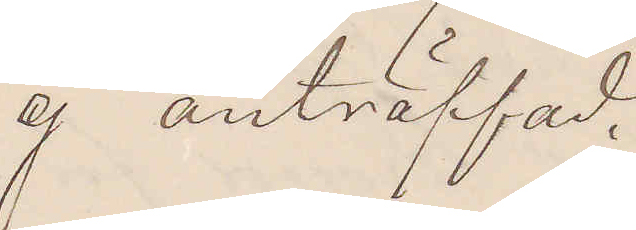ej anträffad.
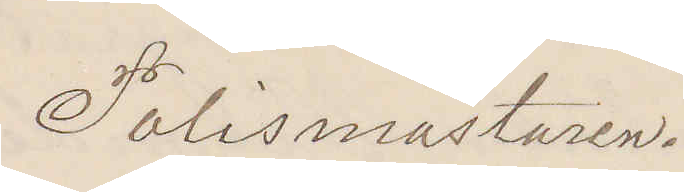Polismästaren.
